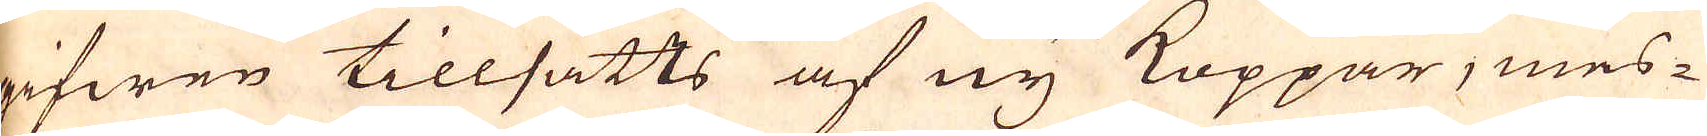gifwen tillsatts af ny Koppar, mes-
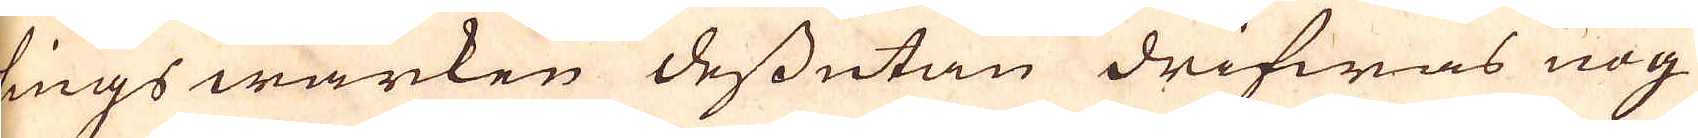lings wärken dessutan drifwas nog
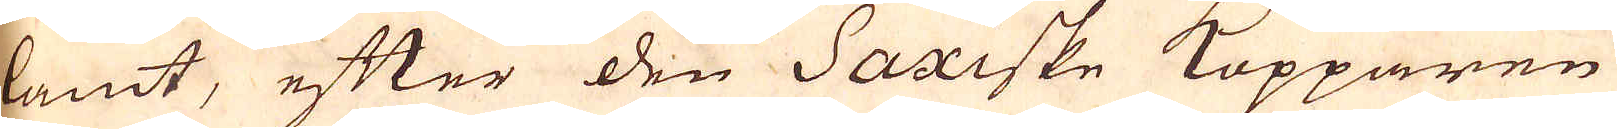lamt, efter den Saxiske Kopparen
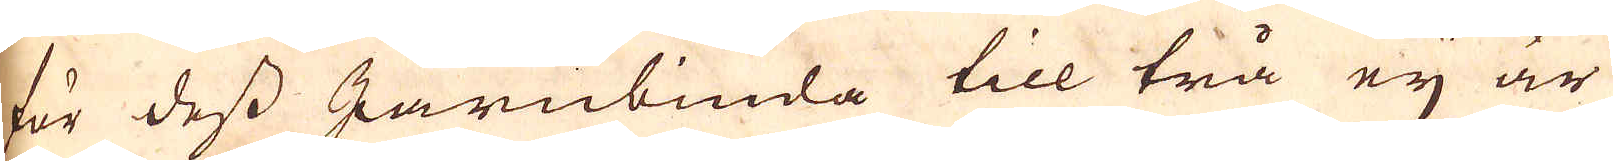för dess Järnbinda till trå ej är
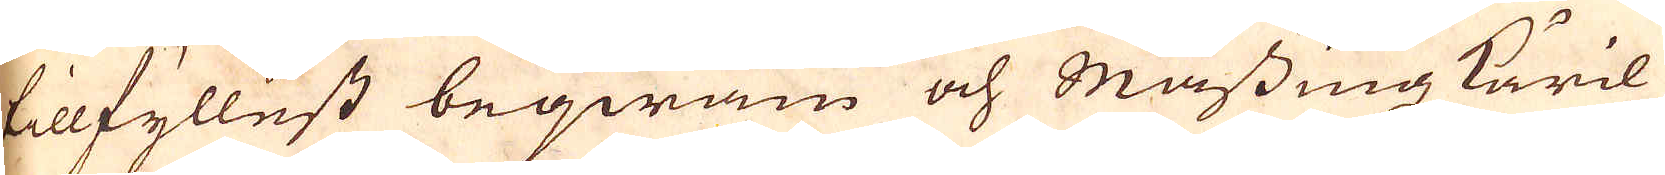tillfyllest beqwäm och Massingz käril
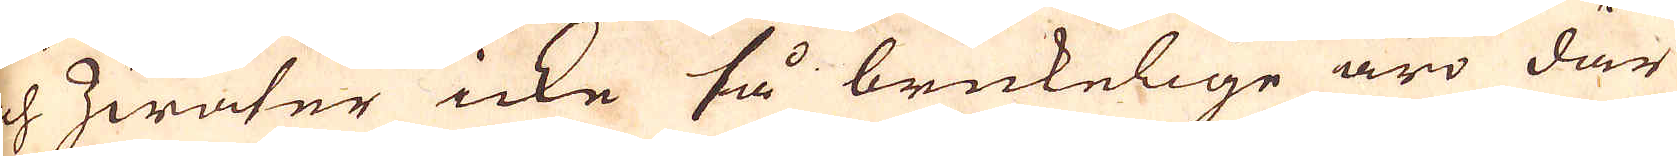och hwaser icke så brukelige äro där
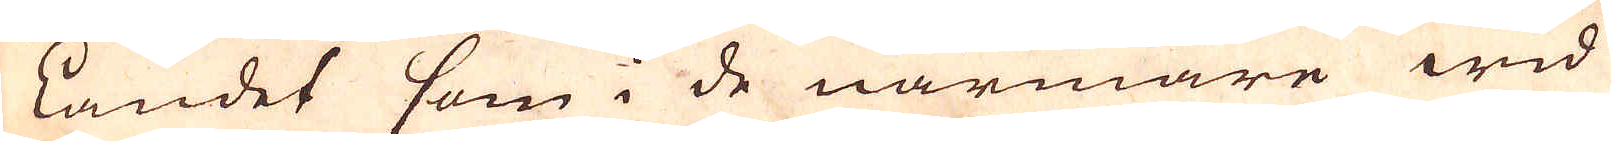i landet som i de närmare wid
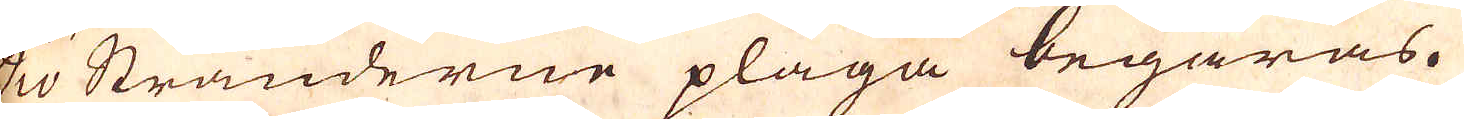Siö Stränderne pläga begäras.
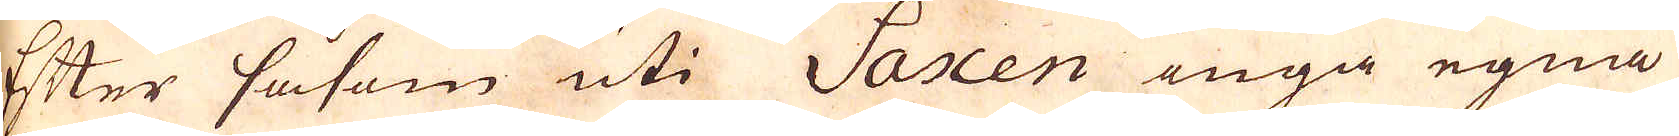Efter såsom uti Saxen inga egna
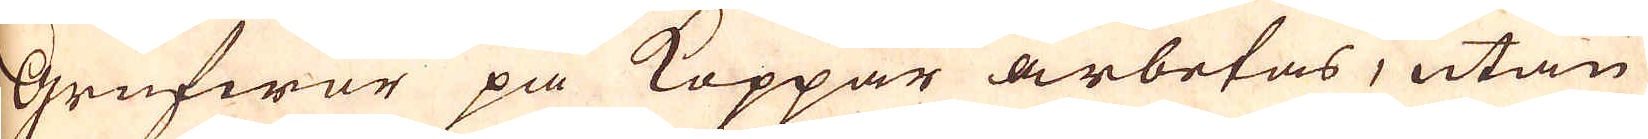Grufwor på Koppar arbetas, utan
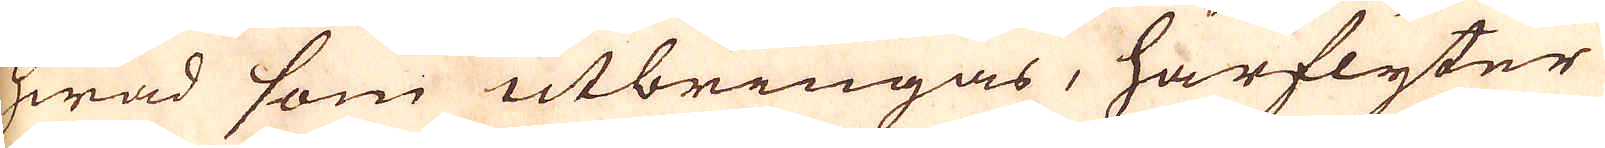hwad som utbringas, härflyter
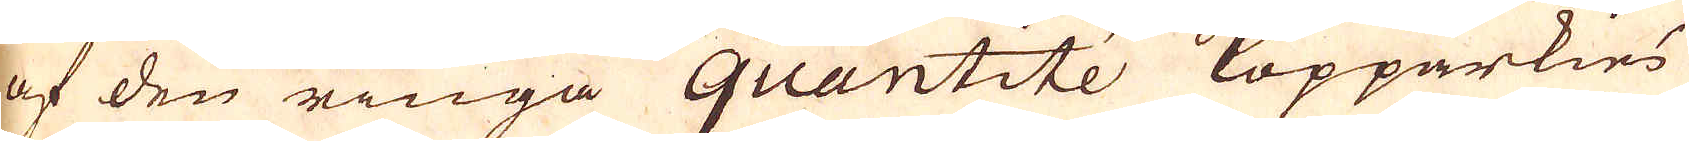af den ringa quantitée Kopaärkies
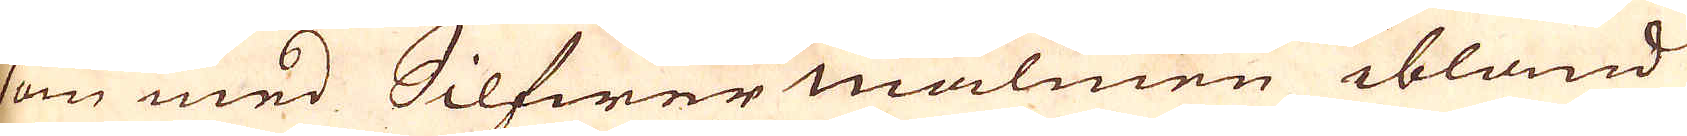som med Silfwer malmen ibland
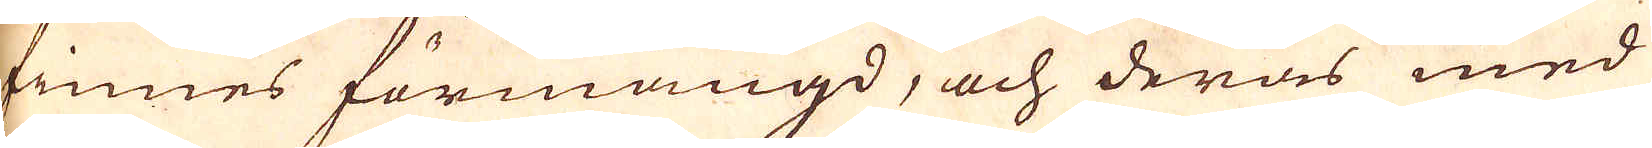finnes förmängd, och deras med
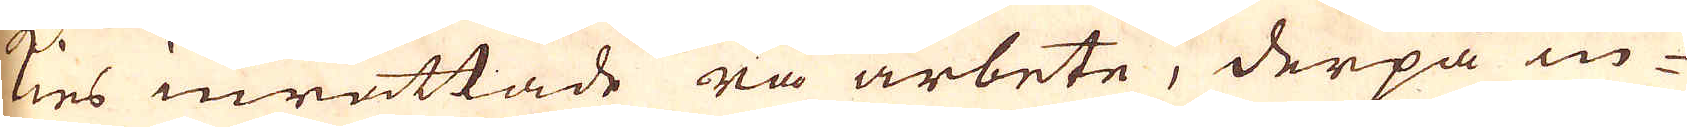kies inrättade rå arbete, derpå in-
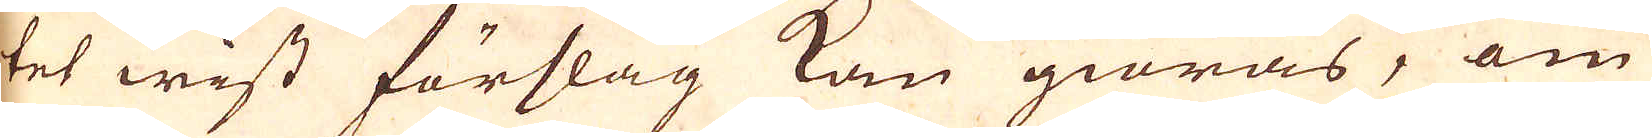tet wist förslag kan giöras, om
